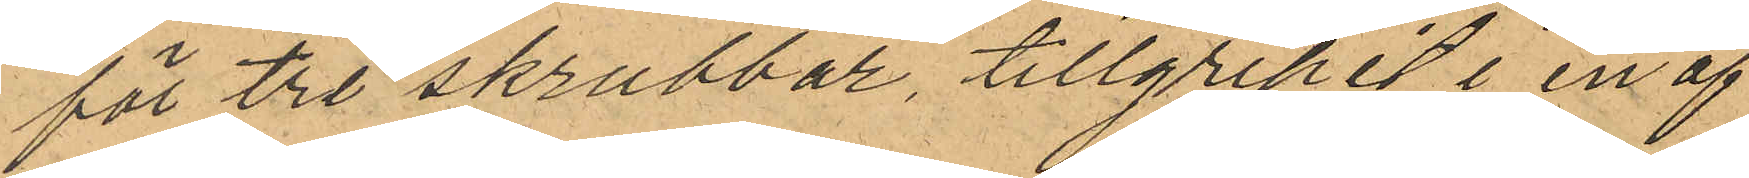för tre skrubbar, tillgripit i en af
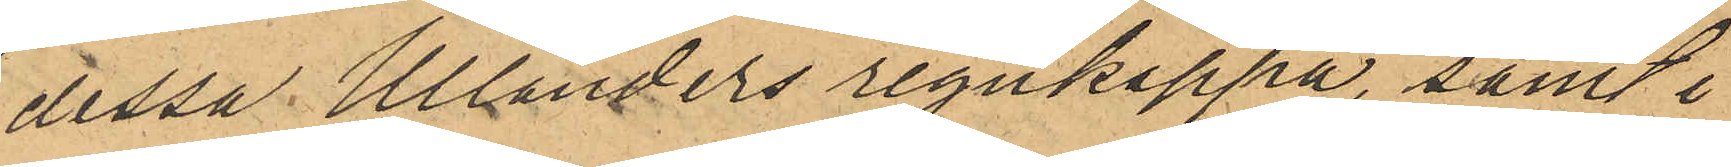dessa Ullanders regnkappa, samt i
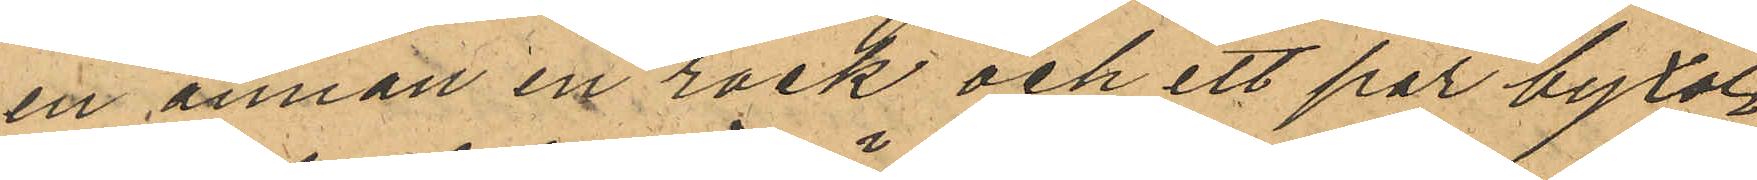en annan en rock och ett par byxor
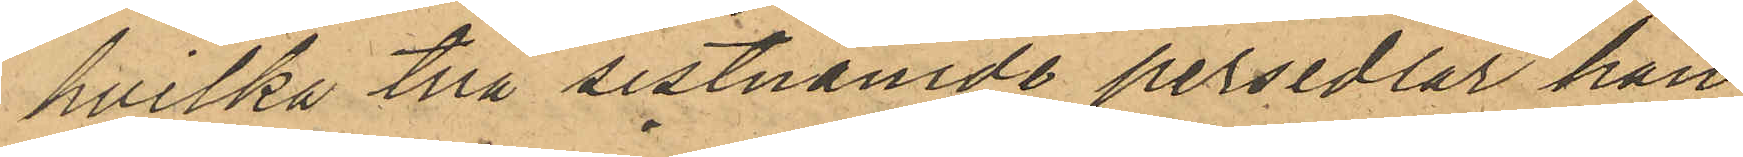hvilka två sistnämde persedlar han
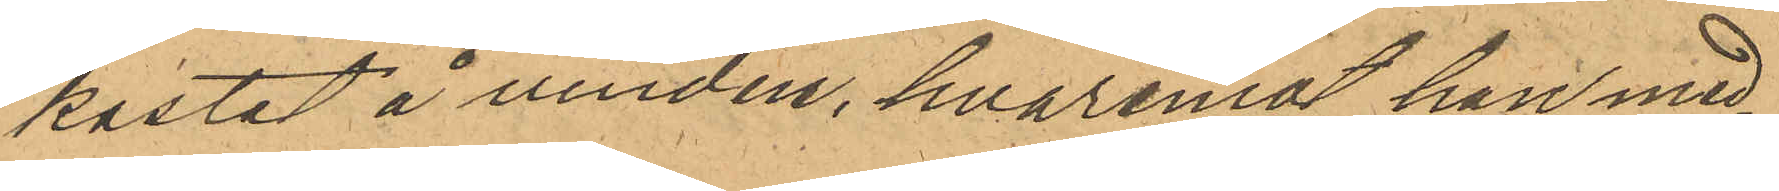kastat å vinden, hvaremot han med¬
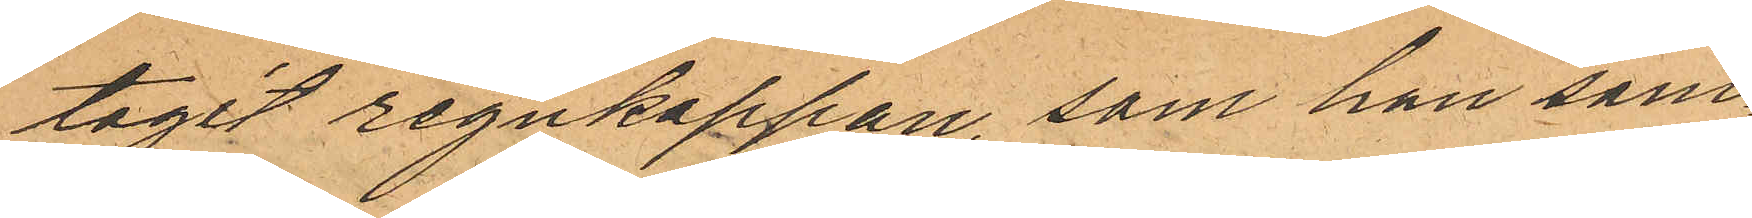tagit regnkappan, som han sam¬
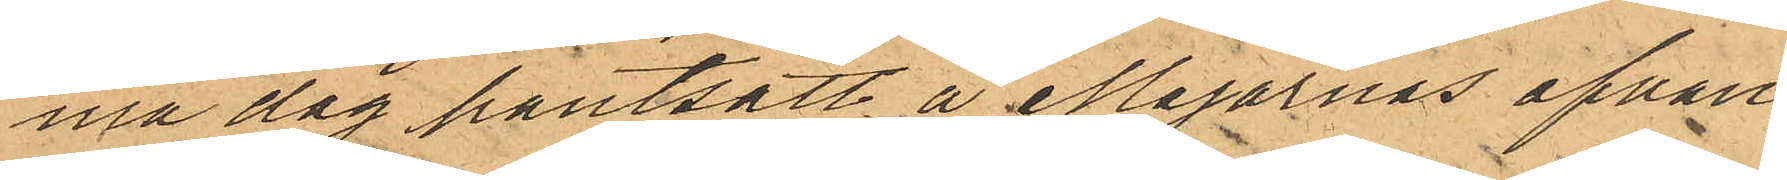ma dag pantsatt å Majornas ofvan¬
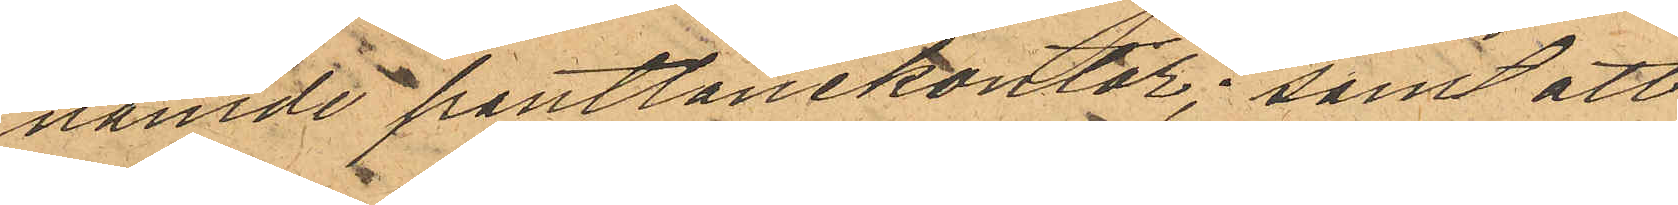namde pantlånekontor; samt att
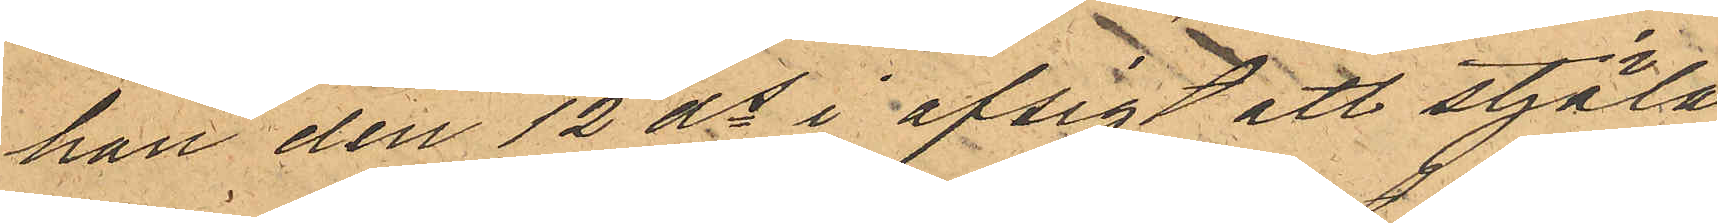han den 12 ds i afsigt att stjäla
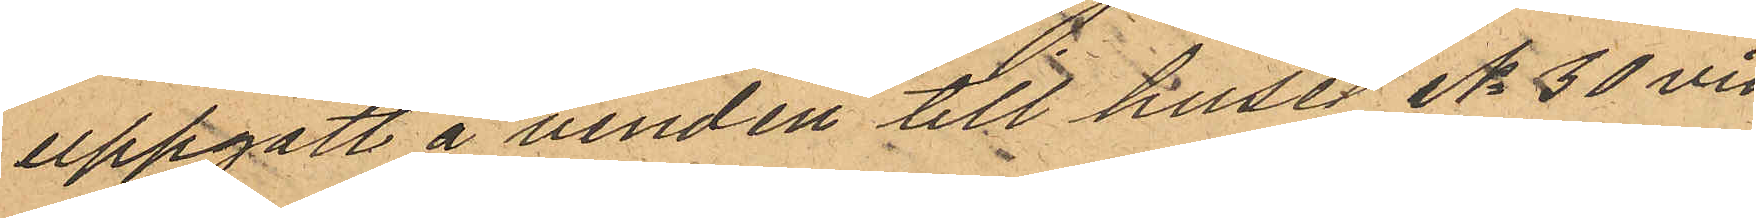uppgått å vinden till huset No 30 vid
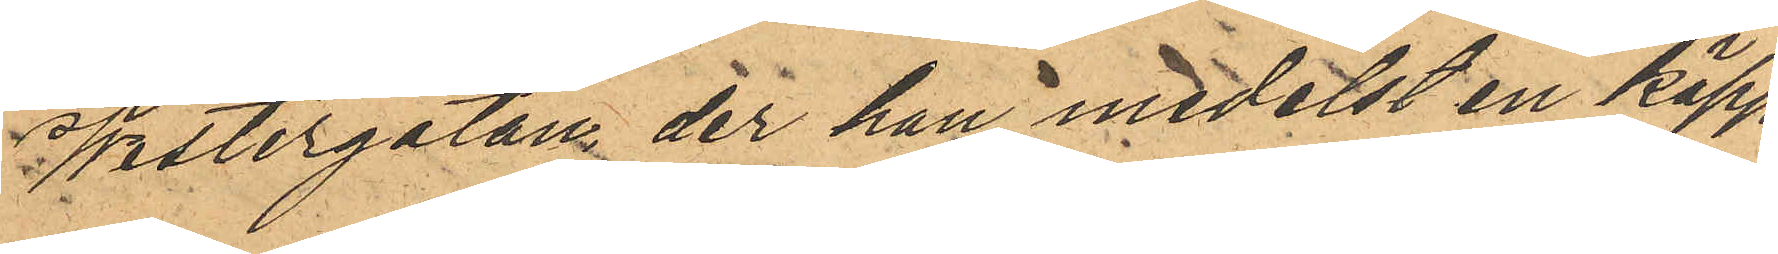Westergatan, der han medelst en käpp
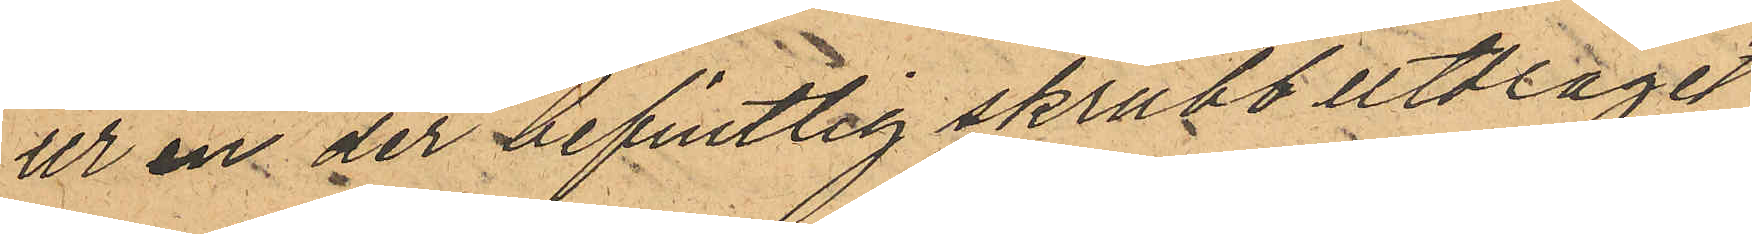ur en der befintlig skrubb utdragit
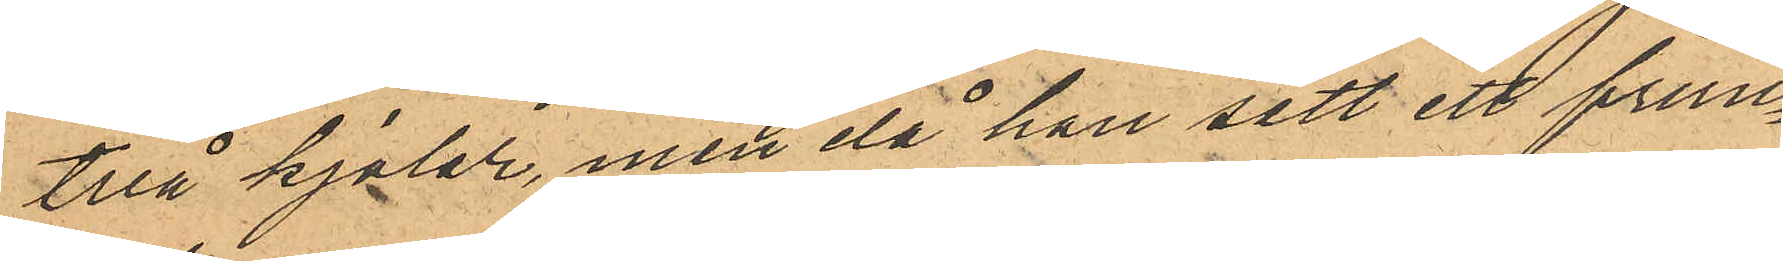två kjolar, men då han sett ett frun¬
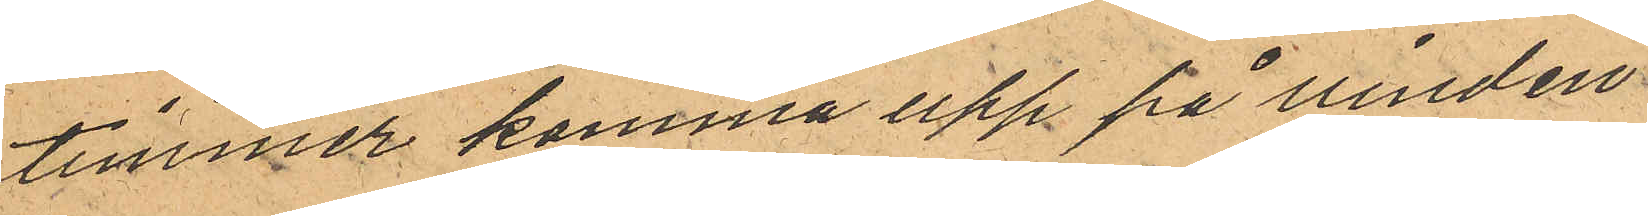timmer komma upp på vinden
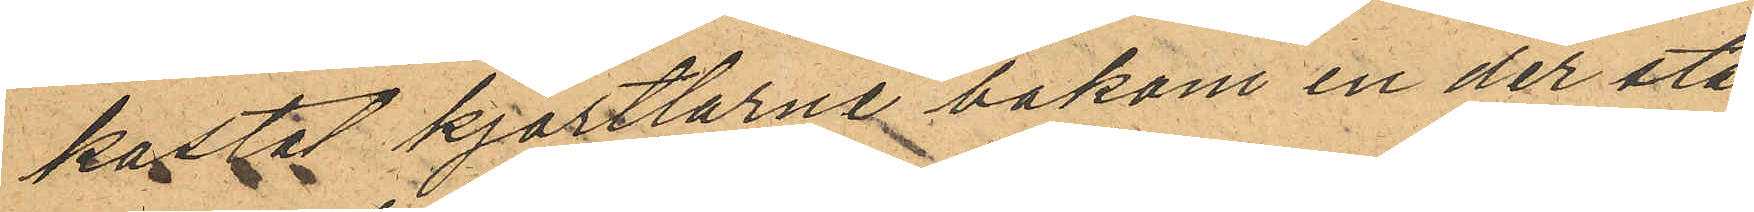kastat kjortlarne bakom en der stå¬
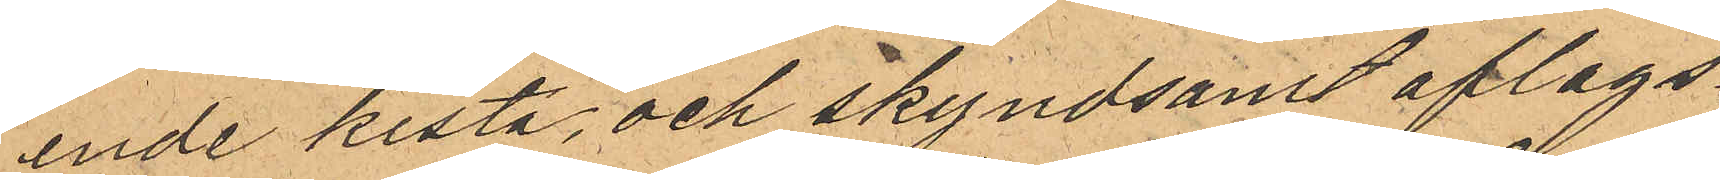ende kista, och skyndsamt aflags¬
